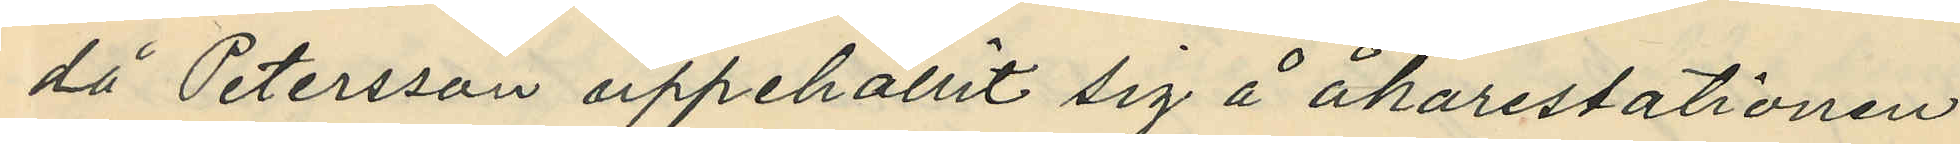då Petersson uppehållit sig å åkarestationen
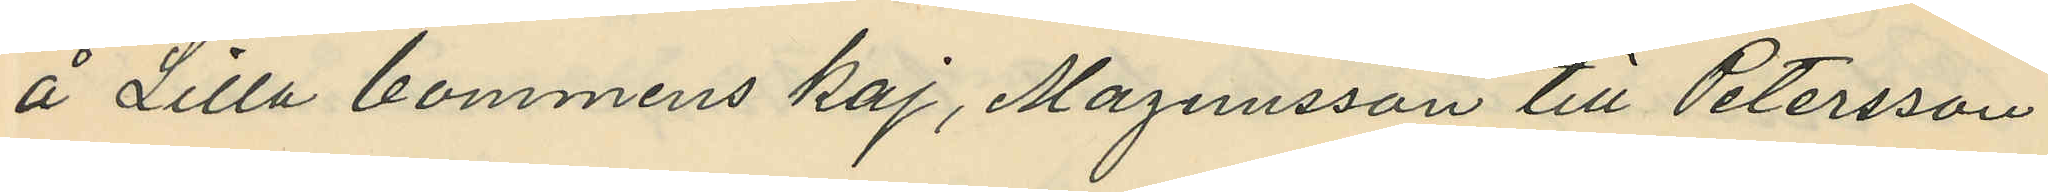å Lilla bommens kaj, Magnusson till Petersson
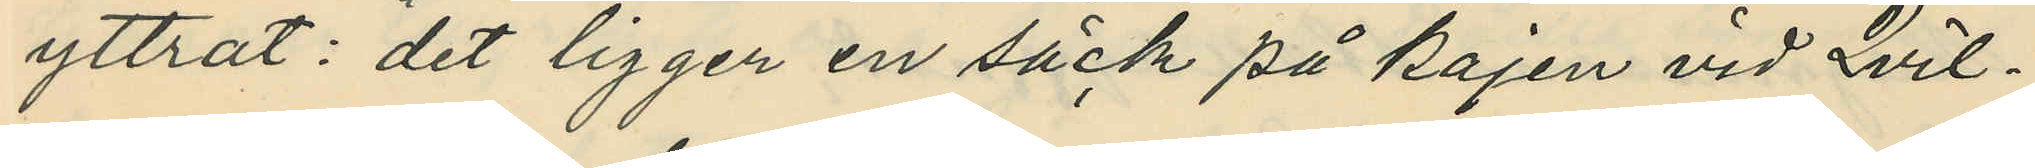yttrat: "det ligger en säck på kajen vid Qvil¬
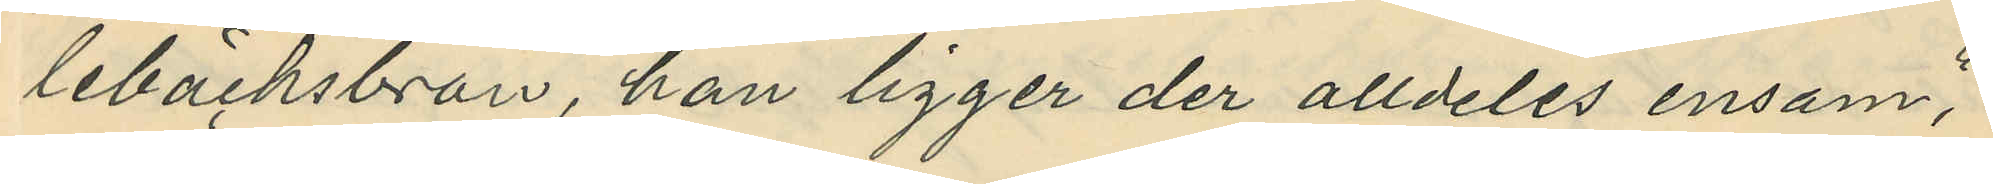lebäcksbron, han ligger der alldeles ensam",
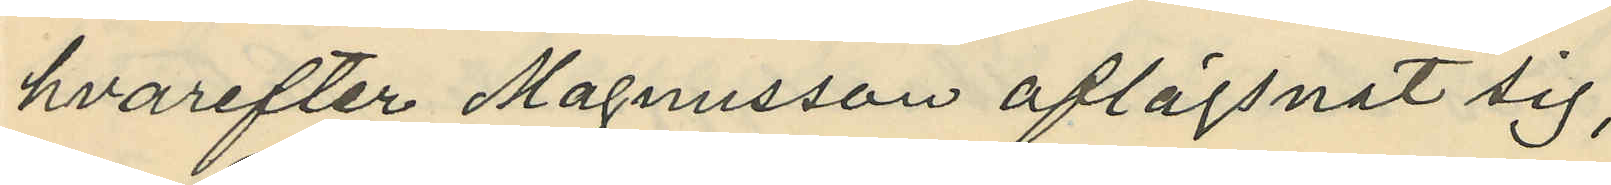hvarefter Magnusson aflägsnat sig,
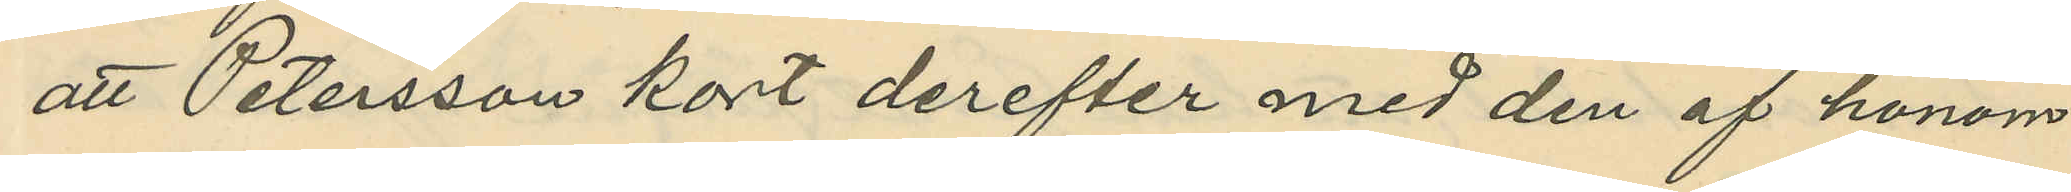att Petersson kort derefter med den af honom
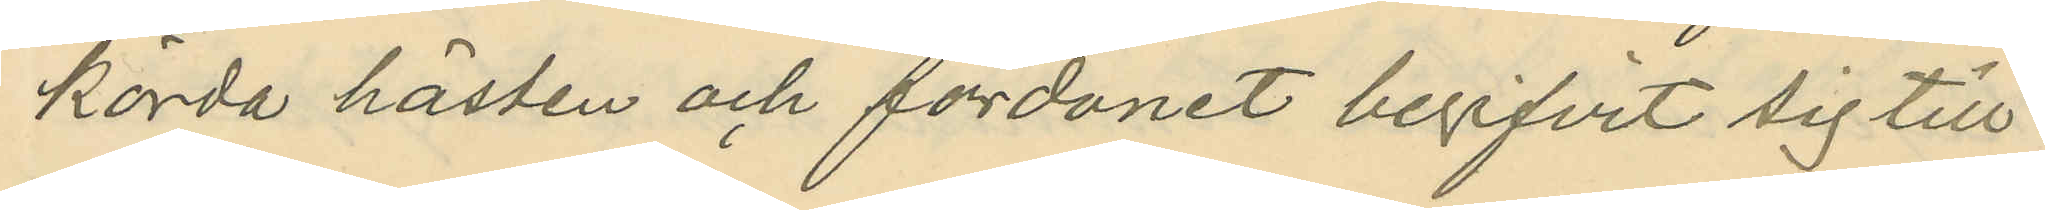körda hästen och fordonet begifvit sig till
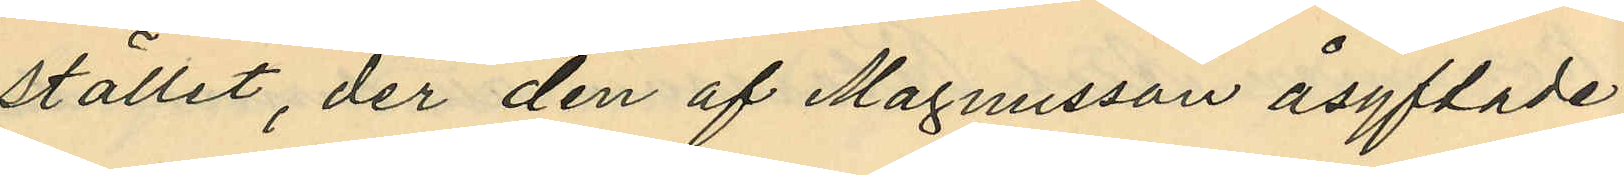stället, der den af Magnusson åsyftade
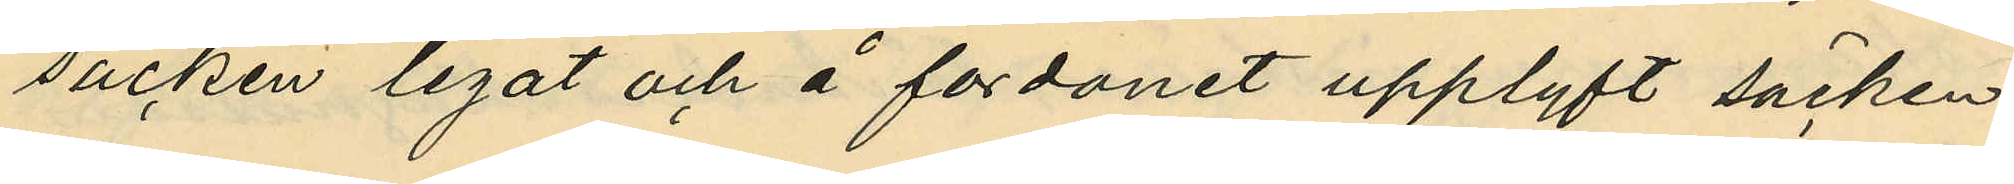säcken legat och å fordonet upplyft säcken,
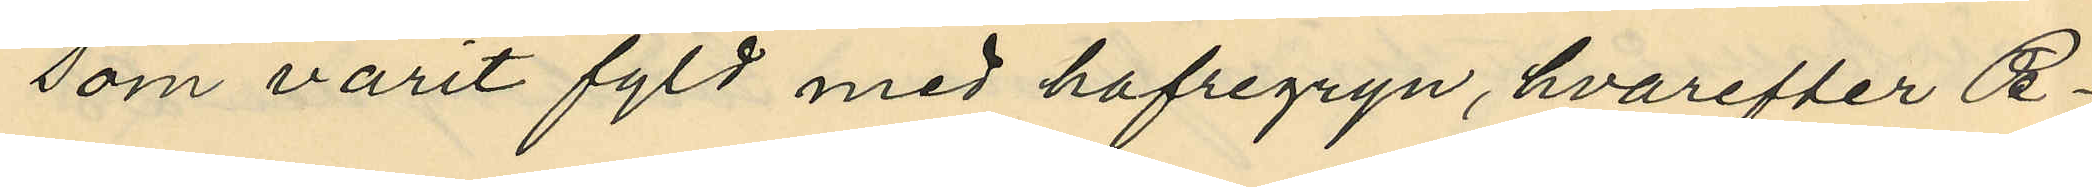som varit fyld med hafregryn, hvarefter Pet¬
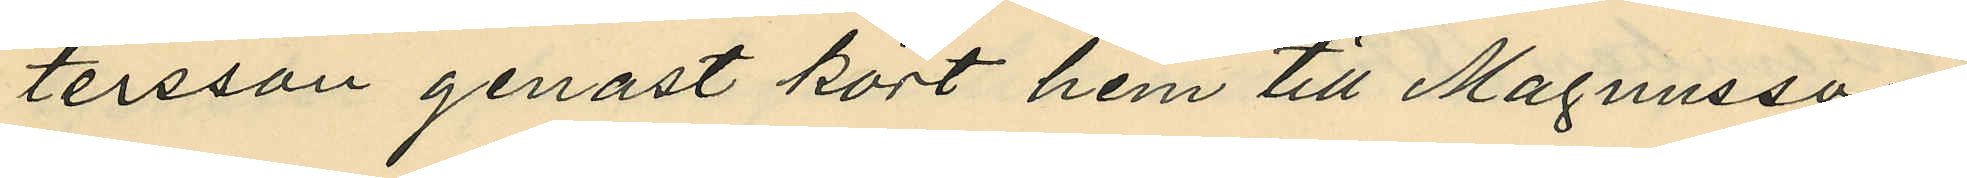tersson genast kört hem till Magnusson
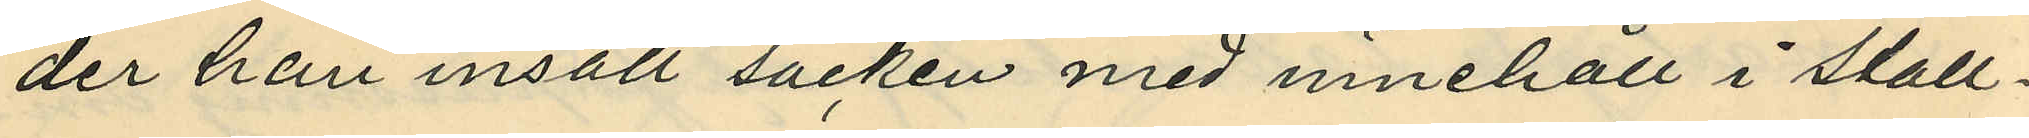der han insatt säcken med innehåll i stall¬
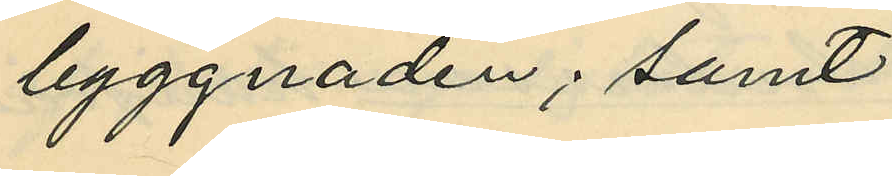byggnaden; samt
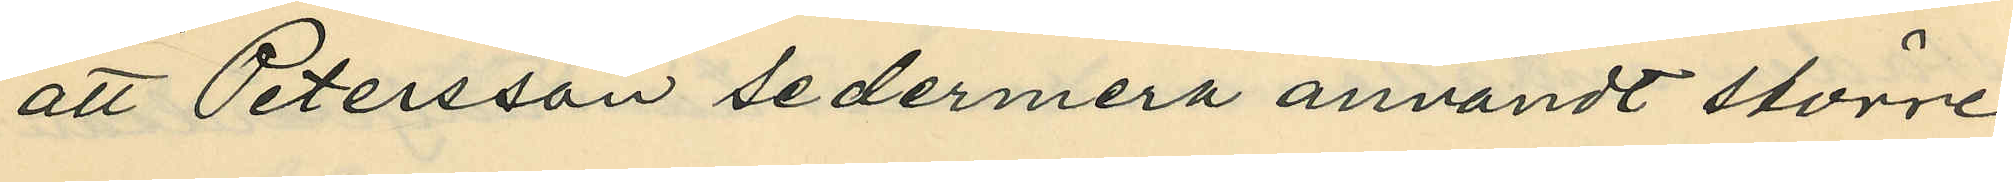att Petersson sedermera användt större
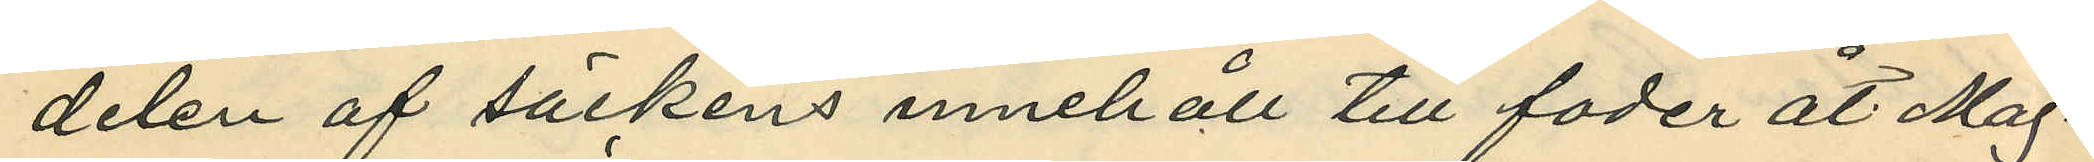delen af säckens innehåll till foder åt Mag¬
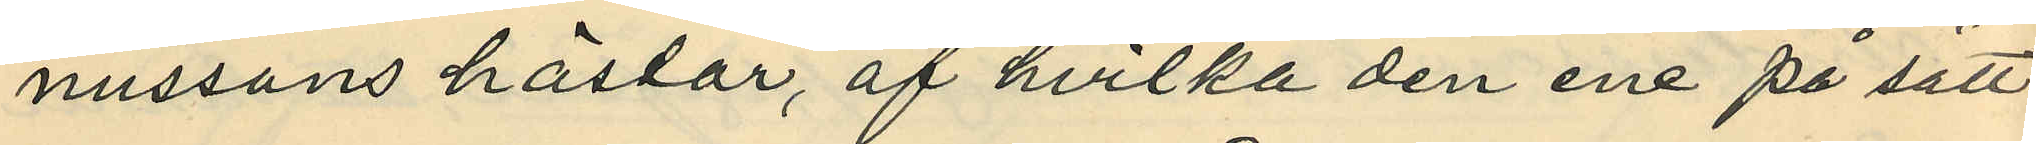nussons hästar, af hvilka den ene på sätt
